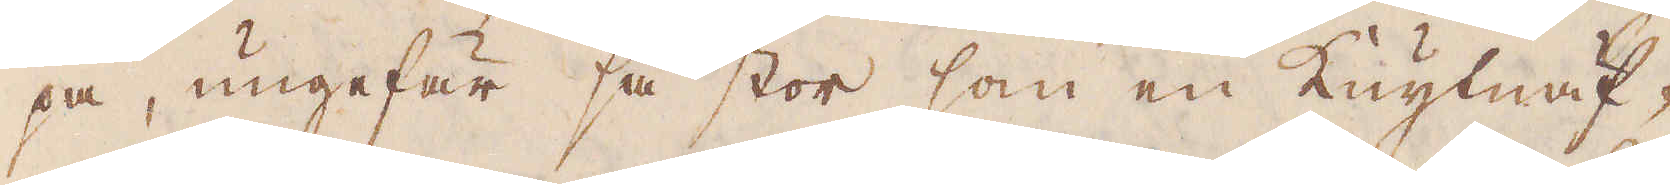pa, ungefär så stor som en Knytnäf-
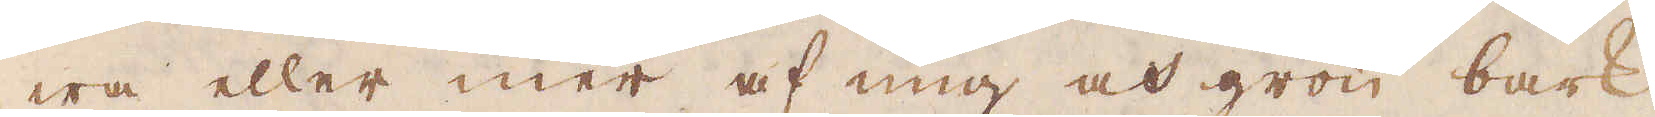wa eller mer af ung och grön bark
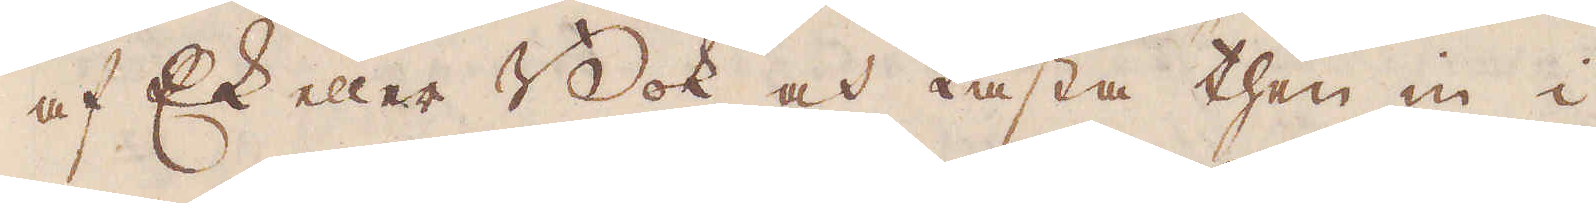af Ek eller Bok och kasta then in i
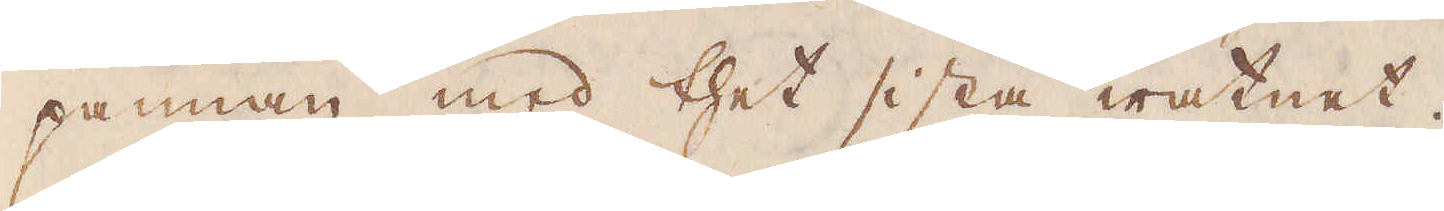pannan med thet sista watnet.
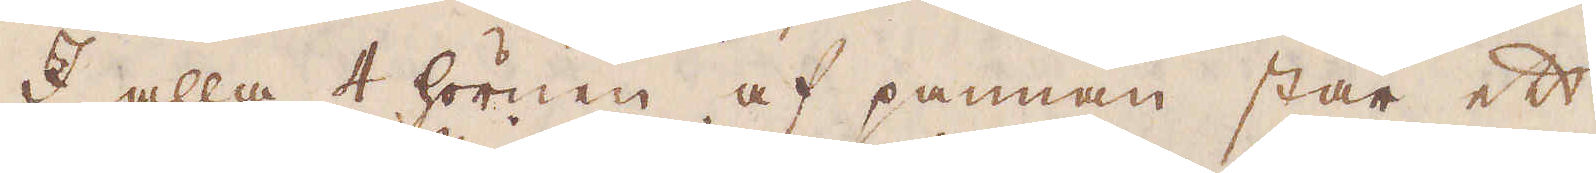I alla 4 hörnen af pannan står ett
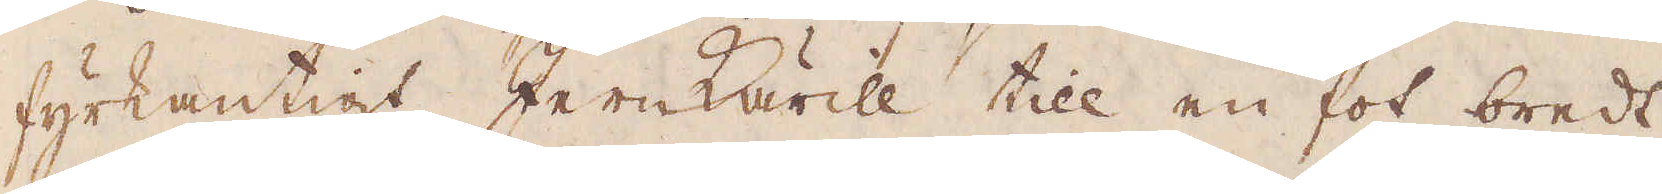fyrkantigt Jernkärill till en fot bredt
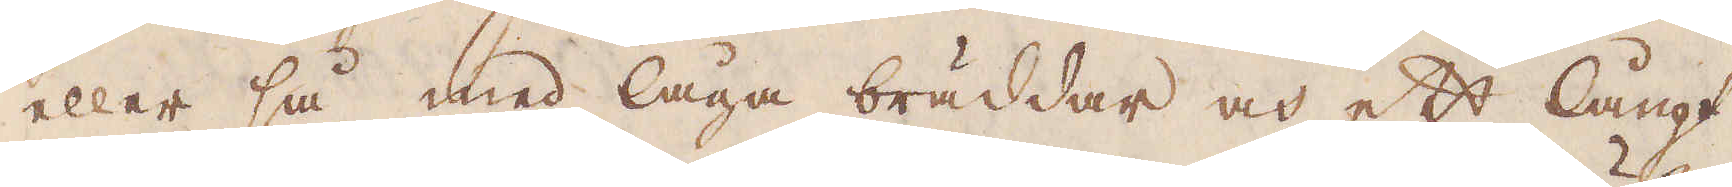eller så med låga bräddar och ett långt
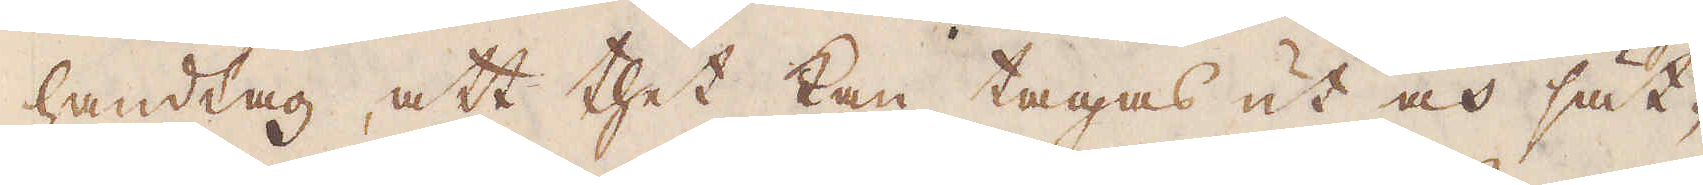handtag, att thet kan tagas ut och sät-
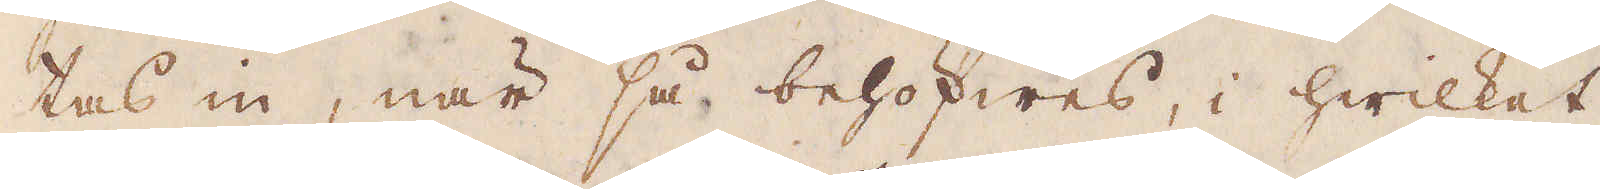tas in, när så behöfwes, i hwilket
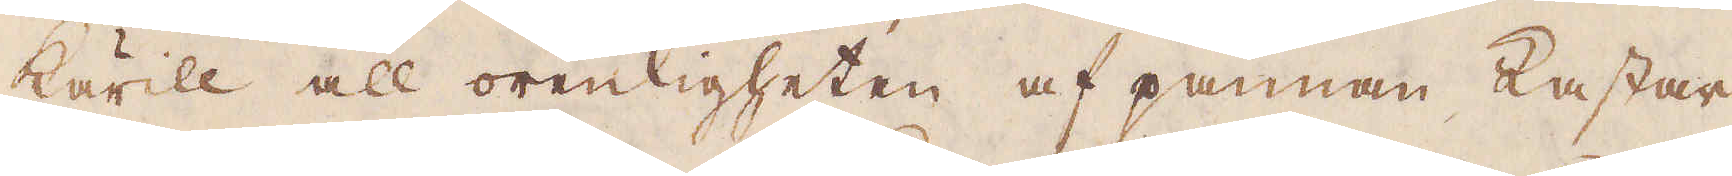kärill all orenligheten af pannan kastar
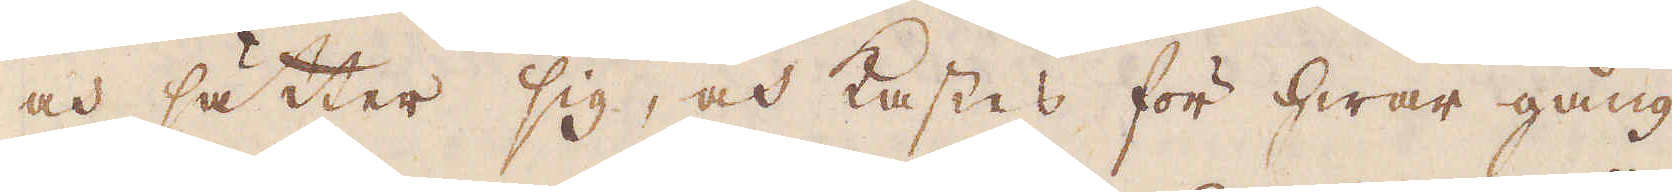och sätter sig, och kastes för hwar gång
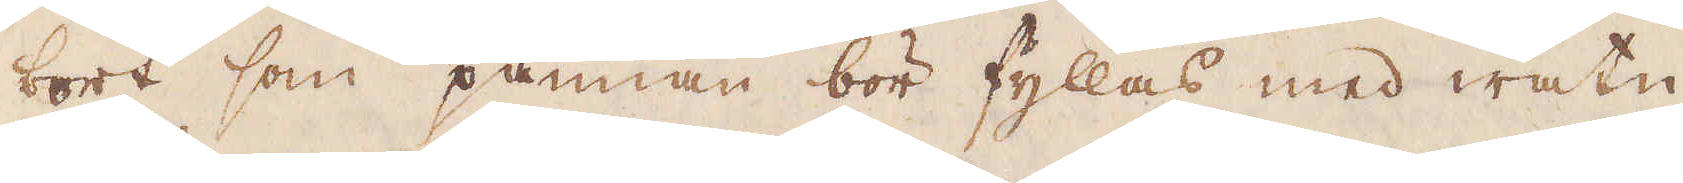bort som pannan bör fyllas med watn
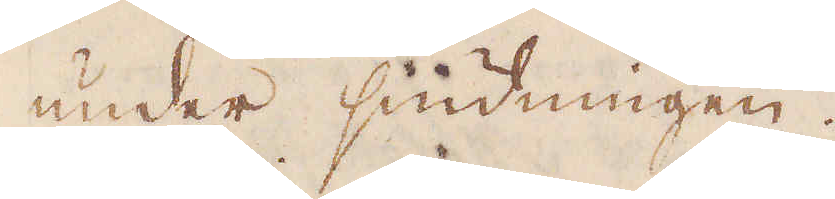under siudningen.
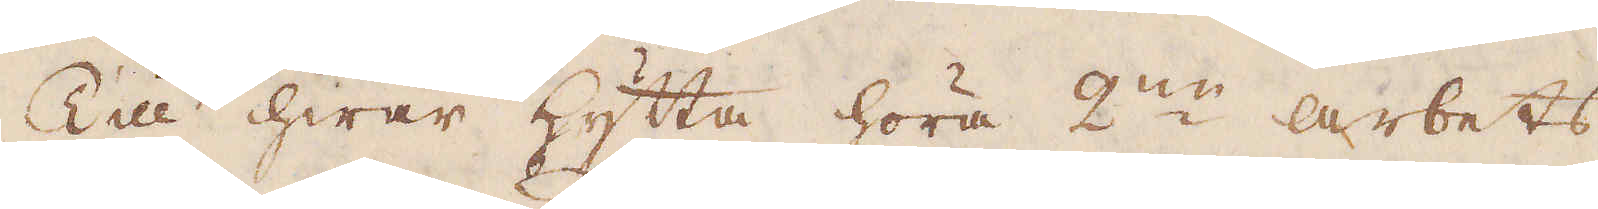Till hwar hytta höra 2:ne arbets
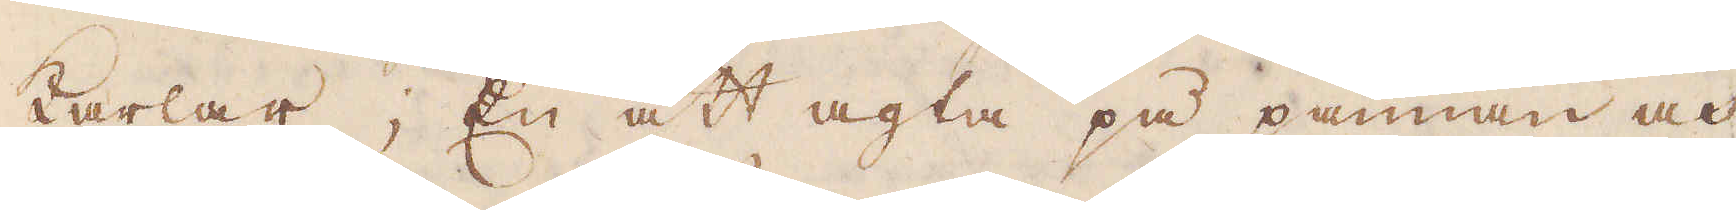karlar; En att agta på pannan och
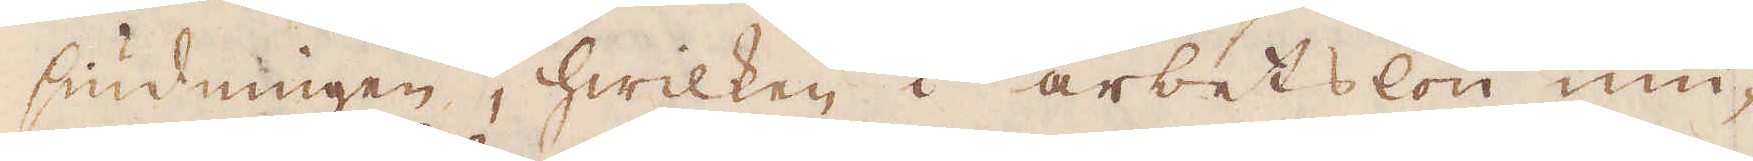siudningen, hwilken i arbetslön niu-
